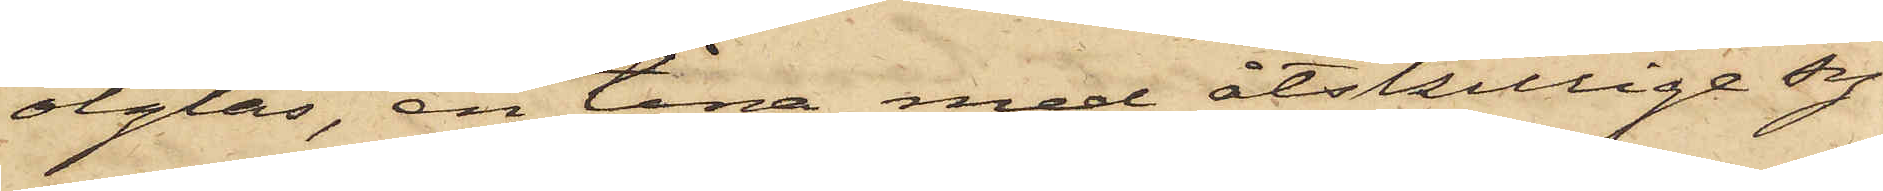ölglas, en tina med åtskillige sy¬
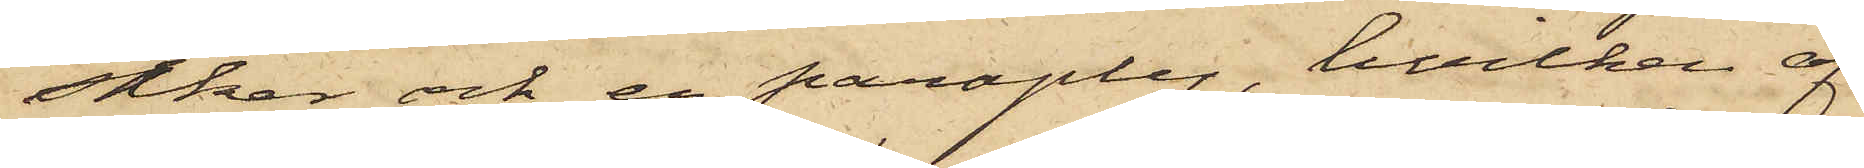saker och en paraply, hvilken af
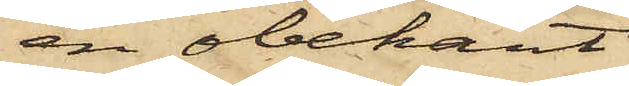en obekant
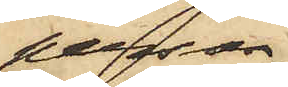person
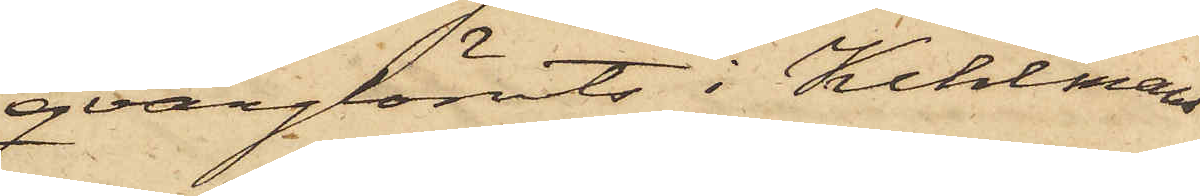qvarglömts i Kihlmans
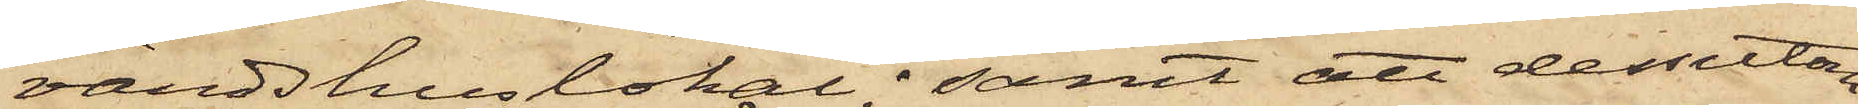värdshuslokal; samt att dessutom
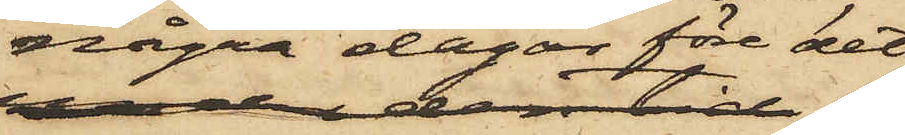några dagar före det
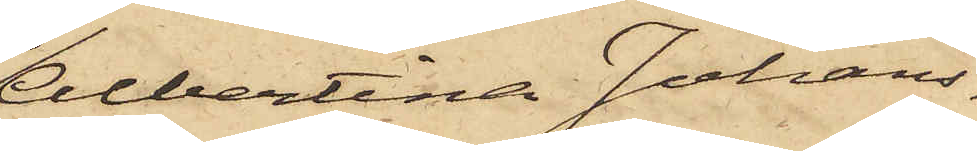Albertina Johans¬
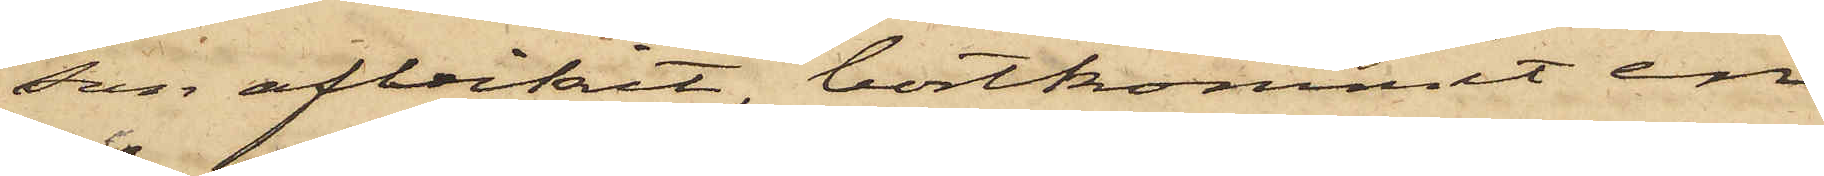son afvikit, bortkommit en
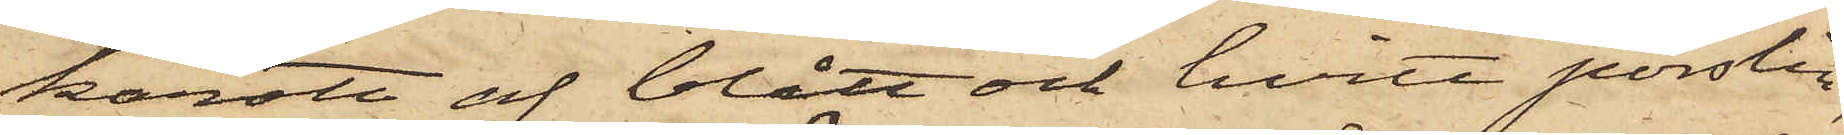karott af blått och hvitt porslin,
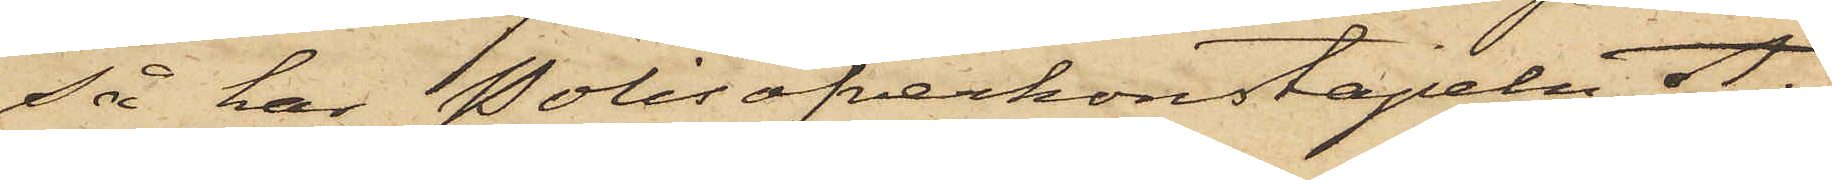så har Polisöfverkonstapeln A.
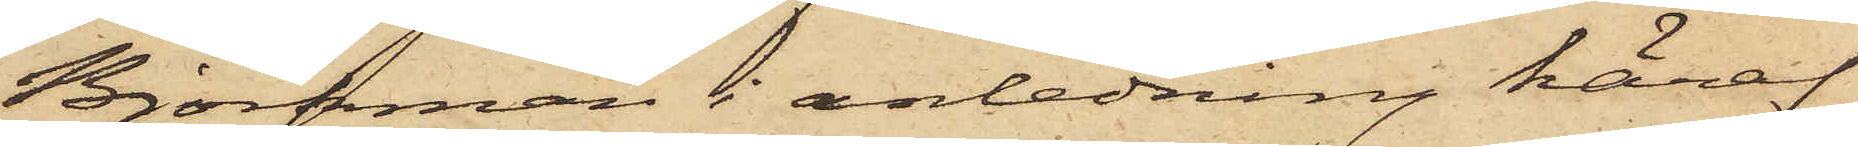Björkman i anledning häraf
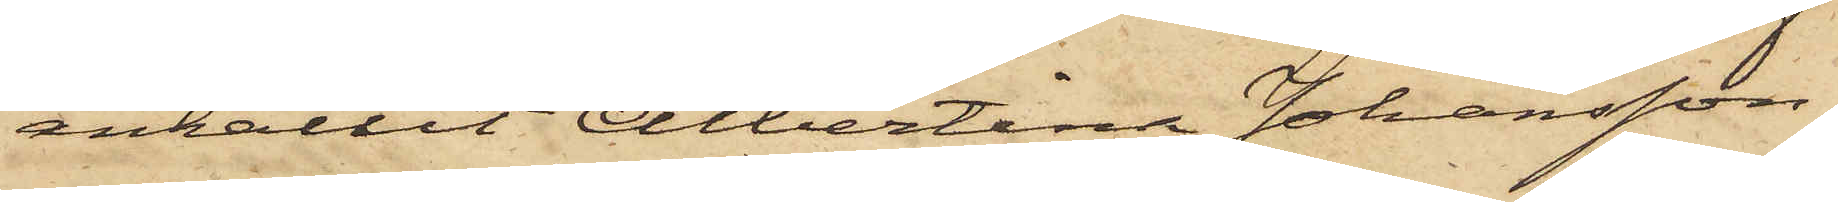anhållit Albertina Johansson,
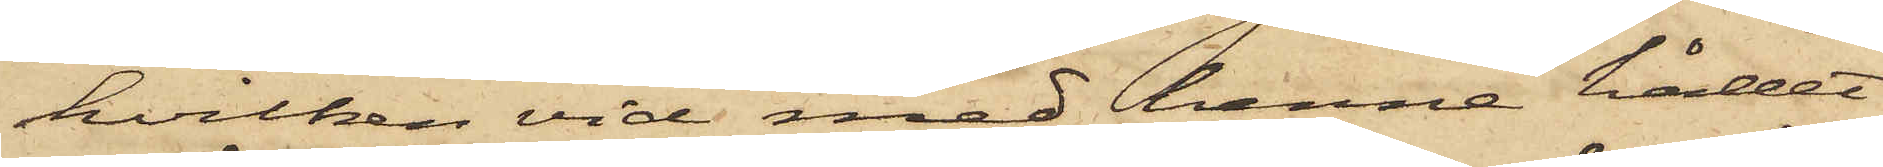hvilken vid med henne hållet
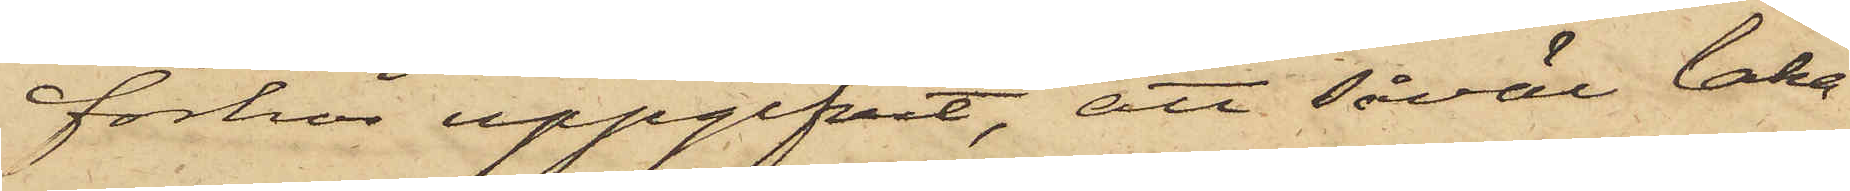förhör uppgifvit, att såväl laka¬
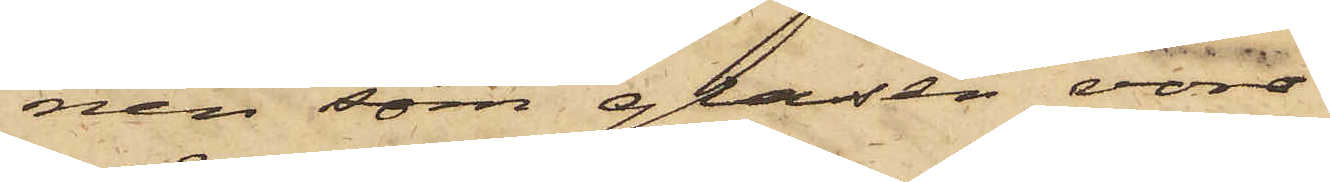nen som glasen voro
